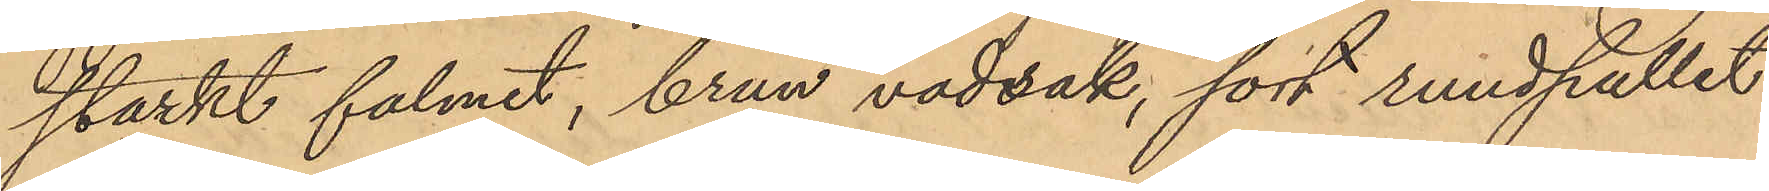starkt falmet, brun vadrak, sort rundpallet
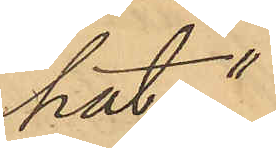hat."
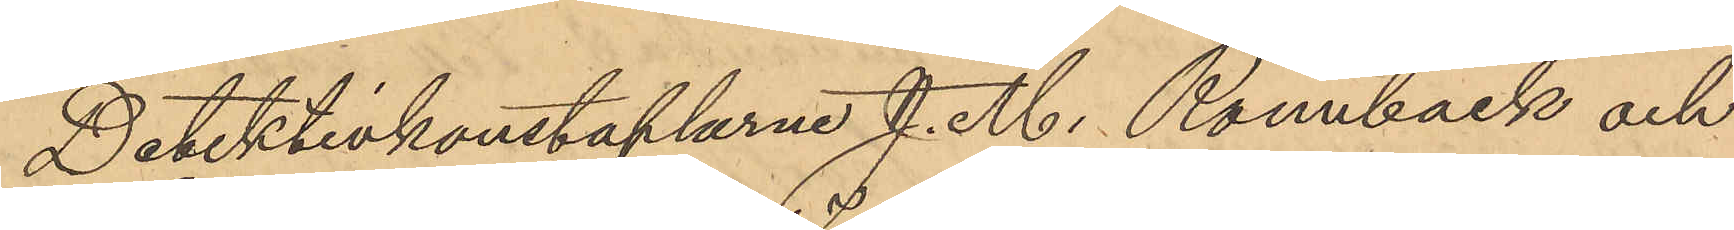Detektivkonstaplarne J. M. Ronnbäck och
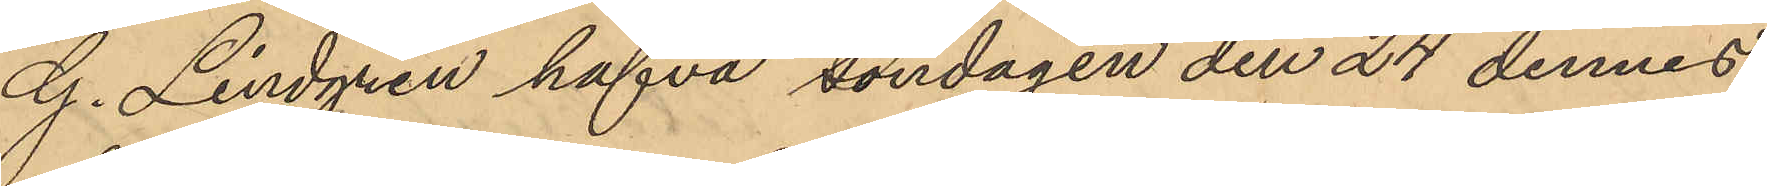G. Lindgren hafva söndagen den 24 dennes
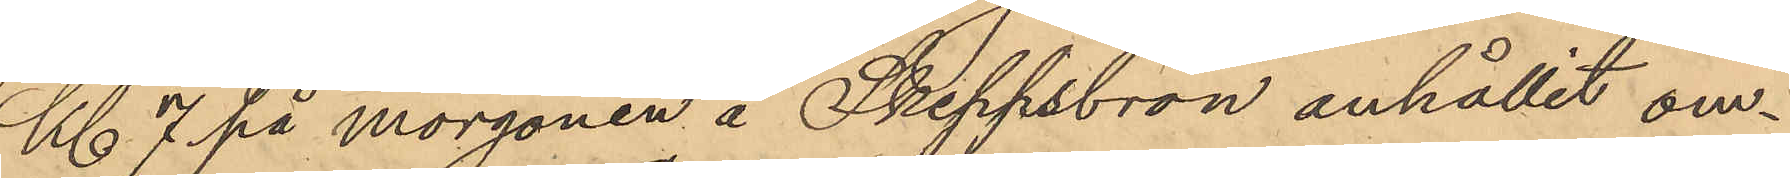Kl. 7 på morgonen å Skeppsbron anhållit om¬
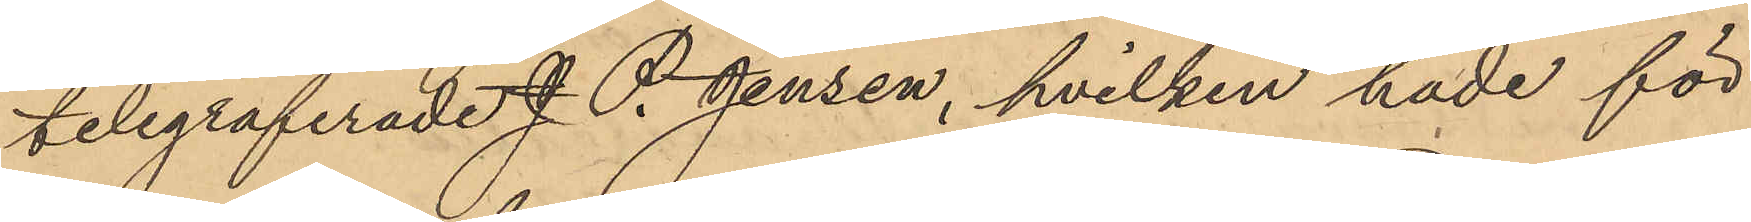telegraferade J. P. Jensen, hvilken hade för
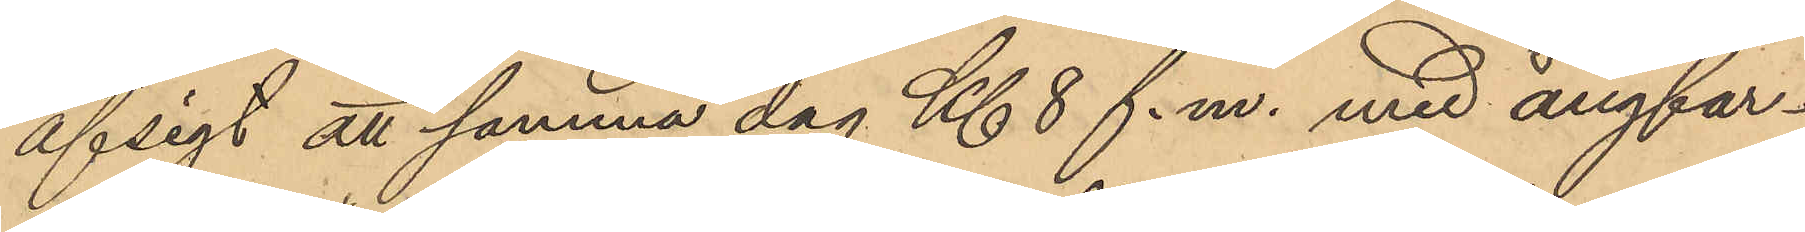afsigt att samma dag Kl. 8 f.m. med ångfar¬
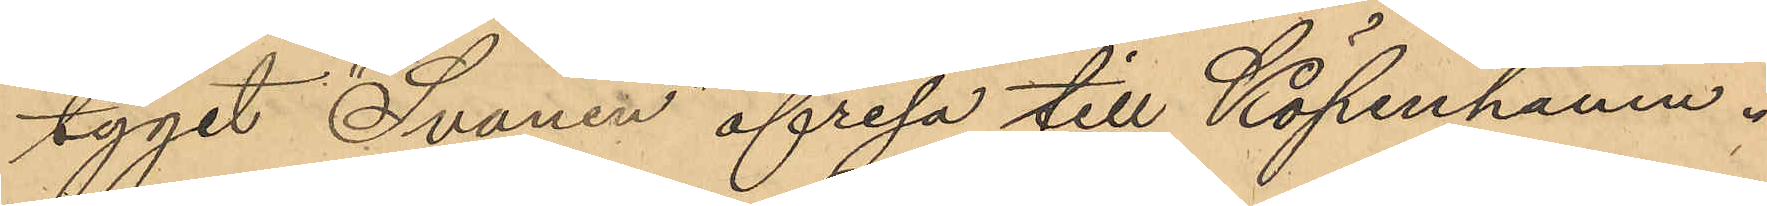tyget "Svanen" afresa till Köpenhamn.
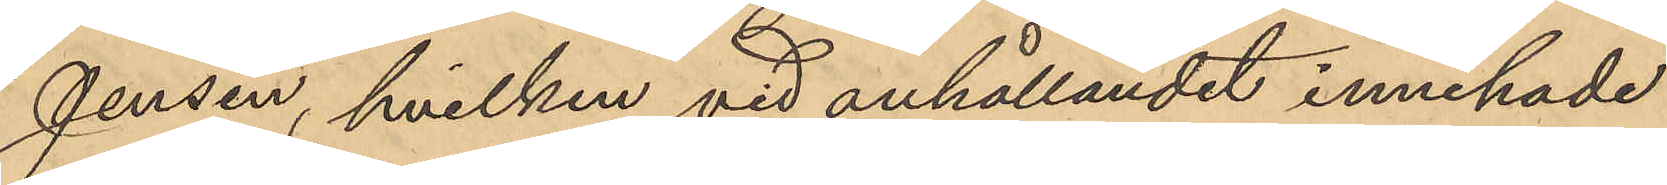Jensen, hvilken vid anhållandet innehade
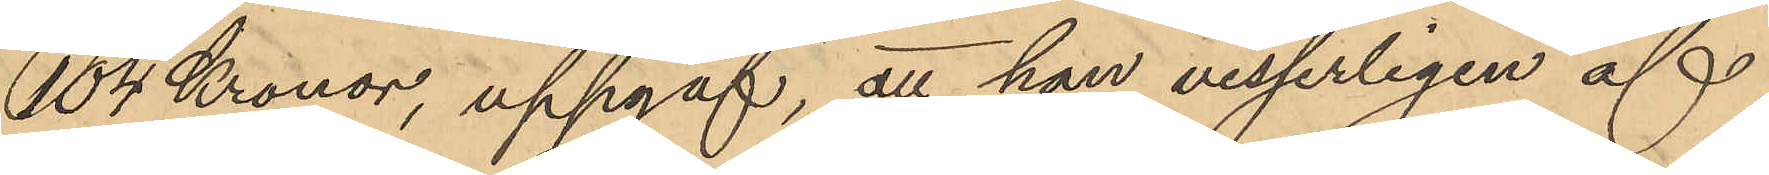104 Kronor, uppgaf, att han visserligen af
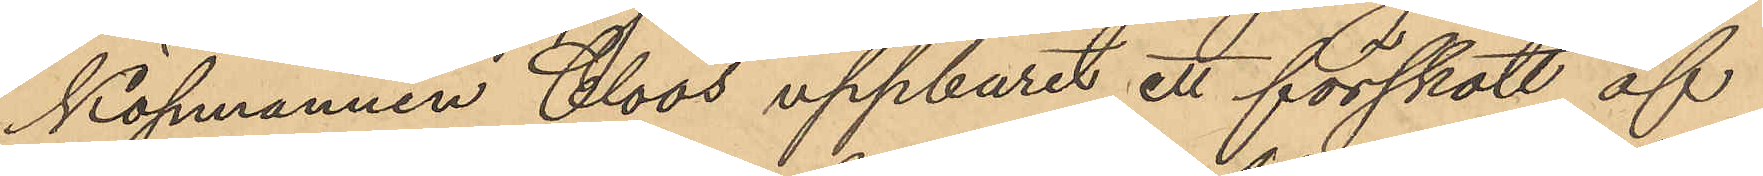Köpmannen Cloos uppburit ett förskott af
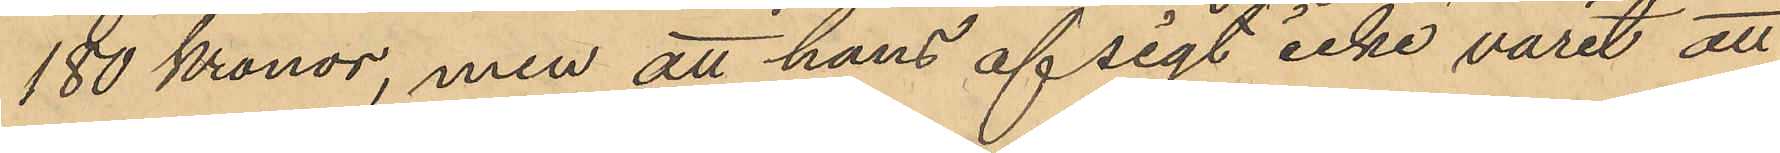180 Kronor, men att hans afsigt icke varit att
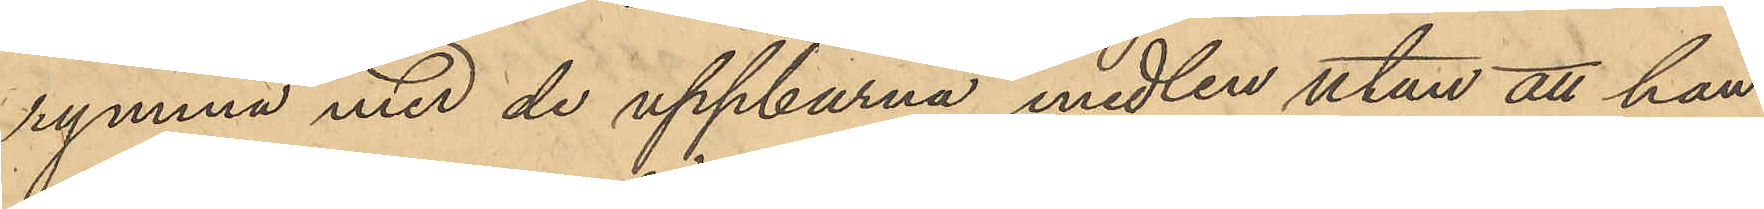rymma med de uppburna medlen utan att han
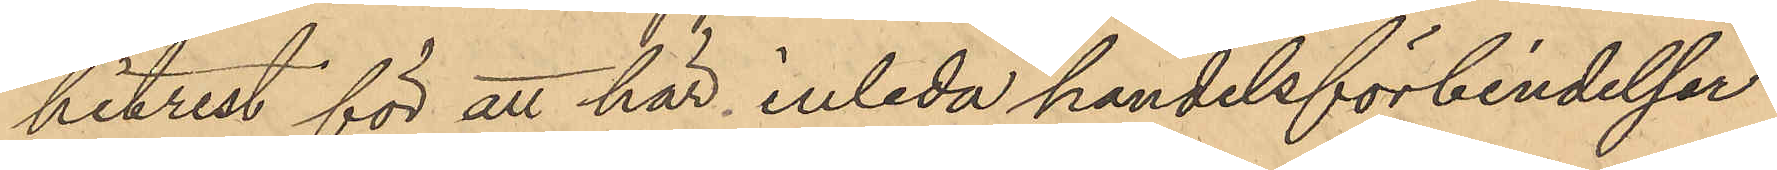hitrest för att här inleda handelsförbindelser
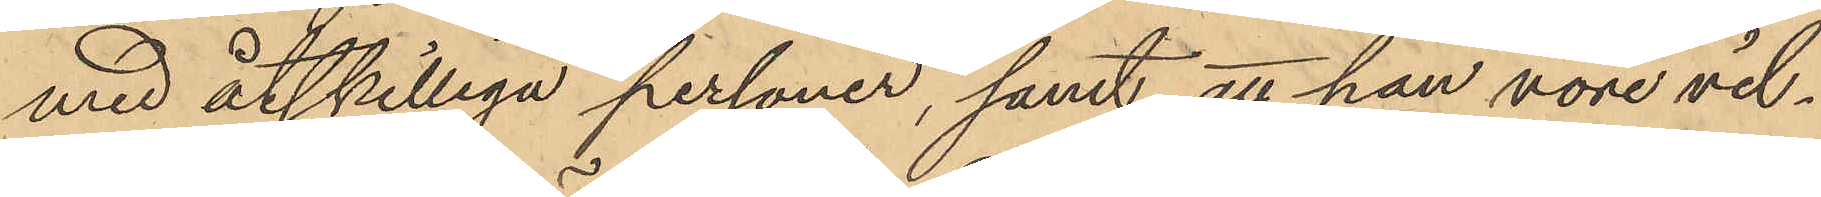med åtskilliga personer, samt att han vore vil¬
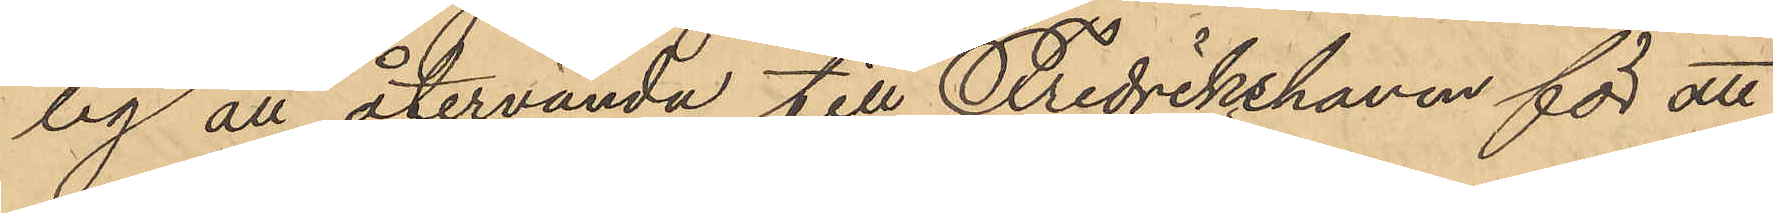lig att återvända till Fredrikshaven för att
